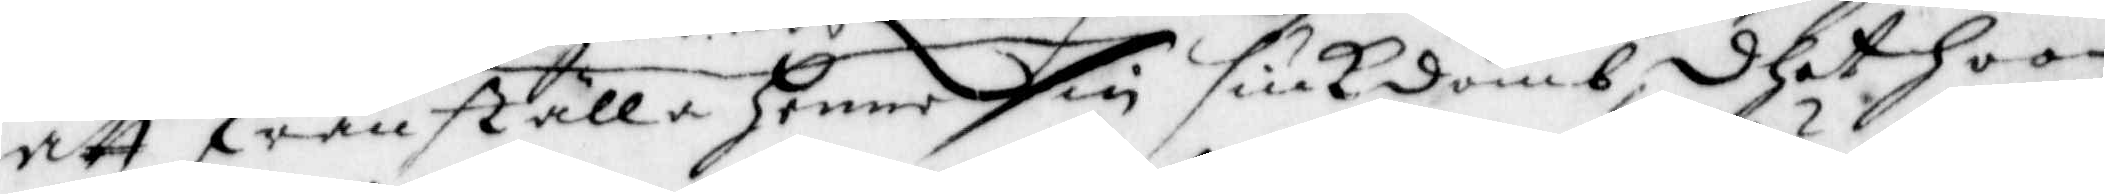att frånställa henne sin siukdomb, dhet hoon
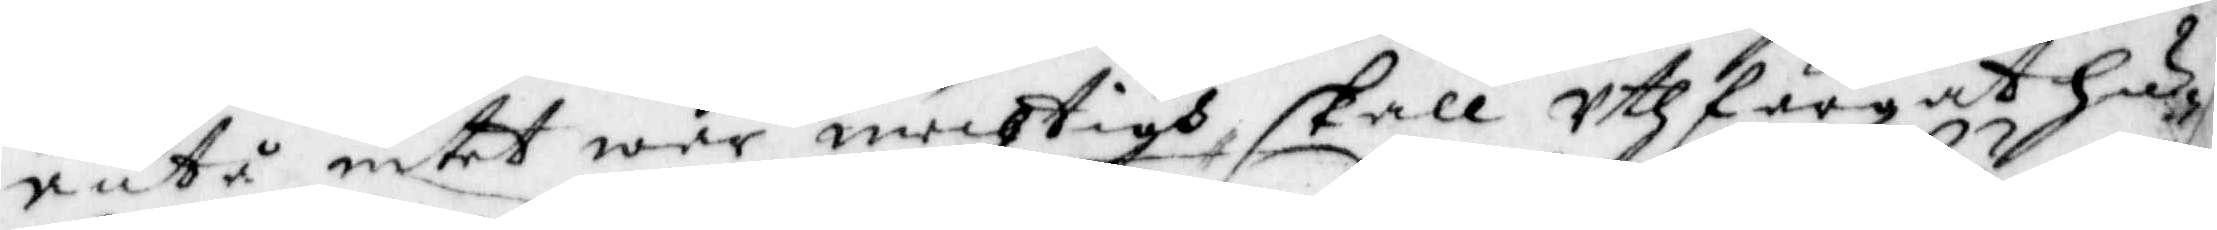äntå intet war mechtigh, skall Uthfärgat hu¬
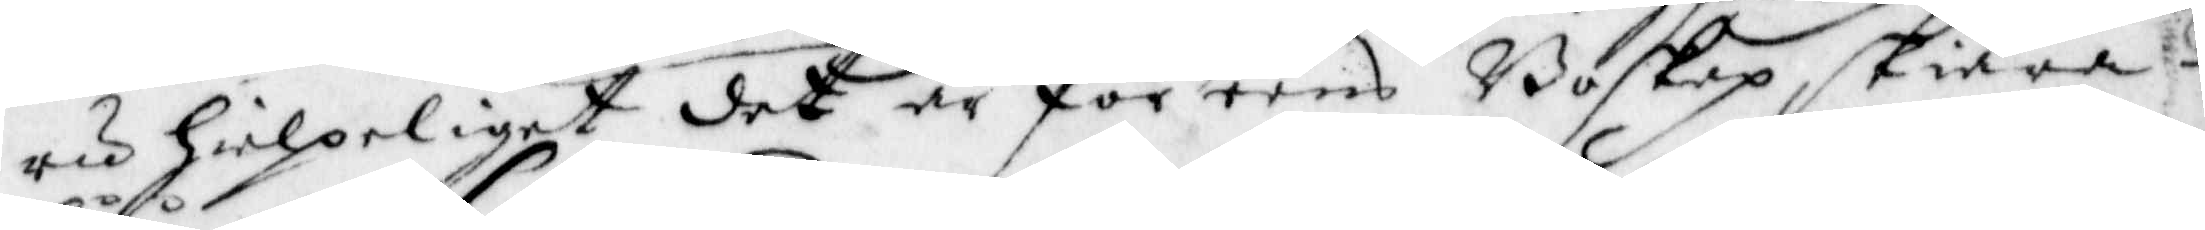ru hielpeliget det är för eens Boskap skiära
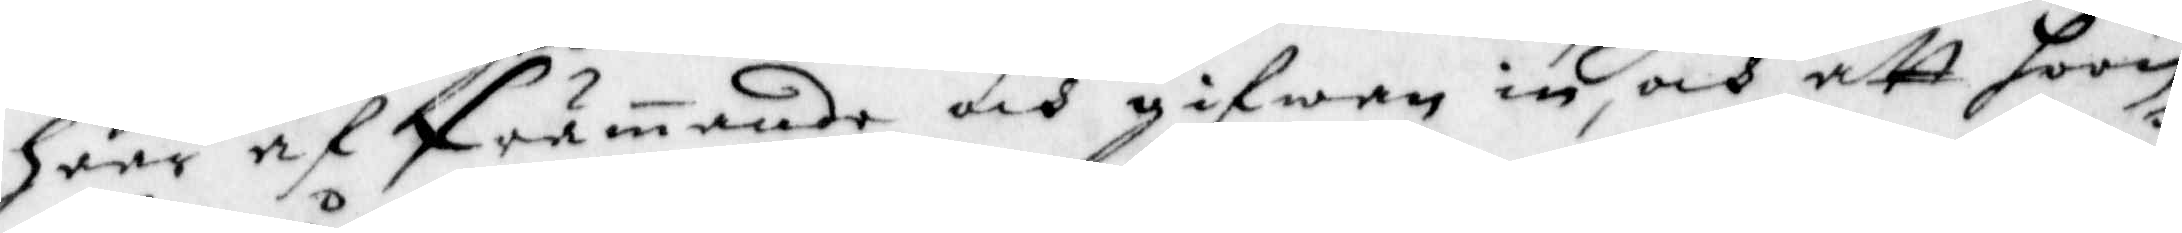håår af Främande och gifwan in, och att hoon
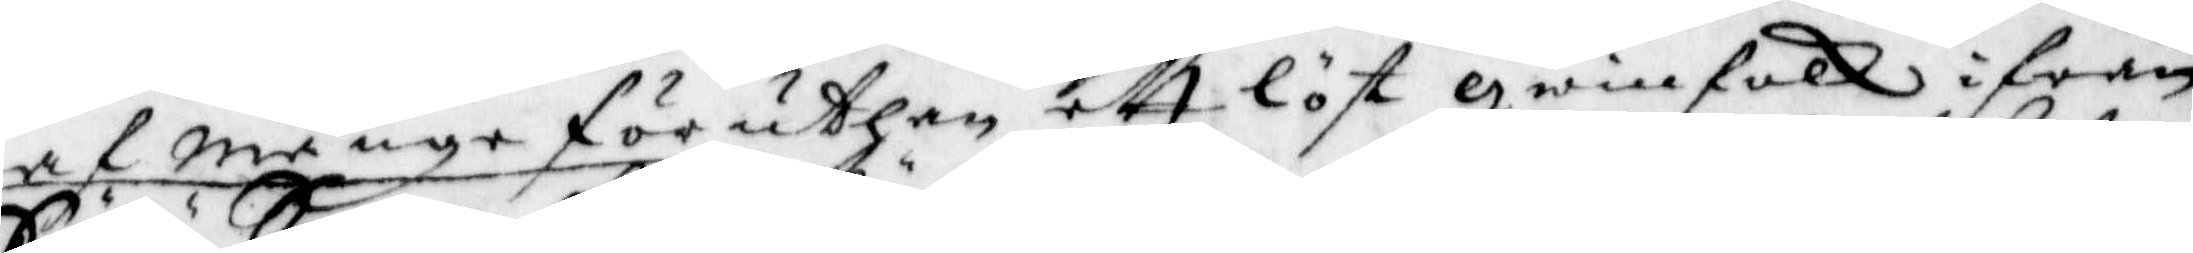af Månge föruthan ett löst qwinnfolk ifrån
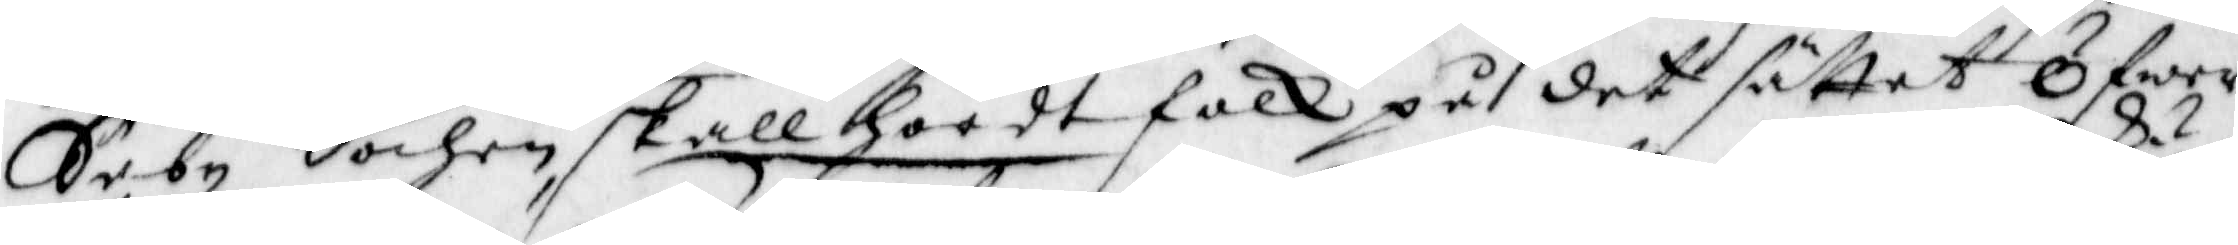Säby Sochen skall hördt folk på det sättet Öfwer
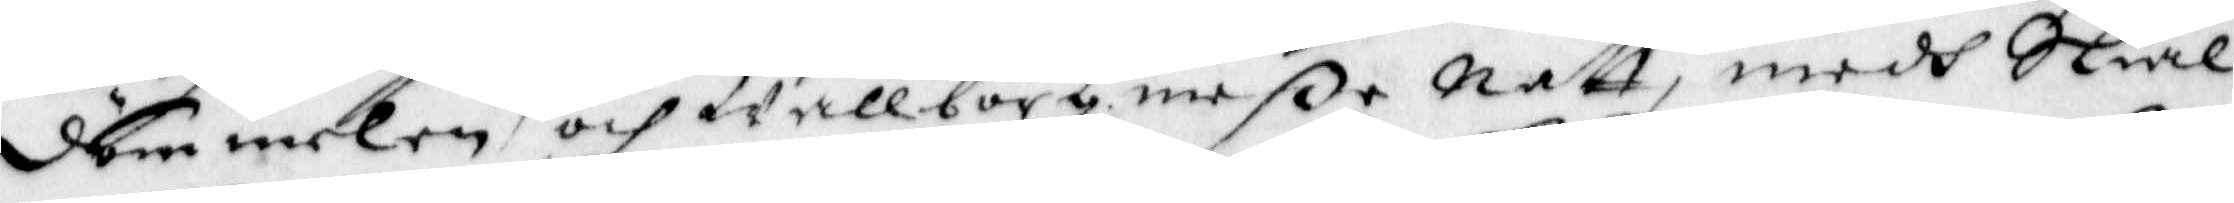dömmelen och wallborg meße Natt, medh Skiäl¬
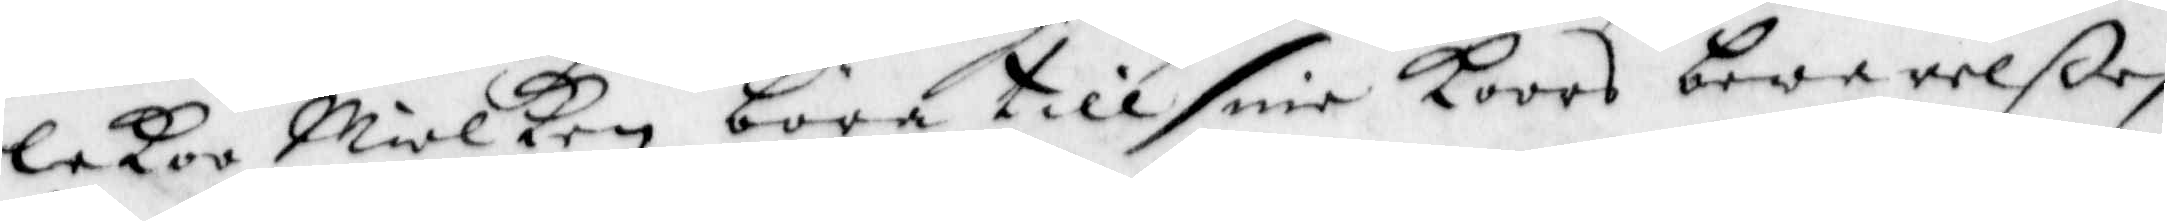lekoo Miolken böra till sine koors bewarelße
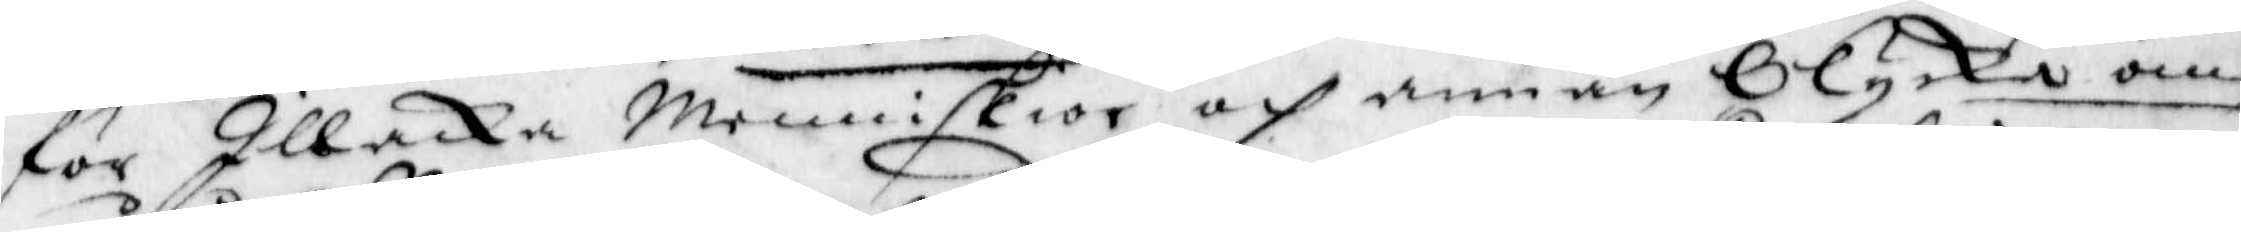för Illacka Menniskior och annan Olycka om¬
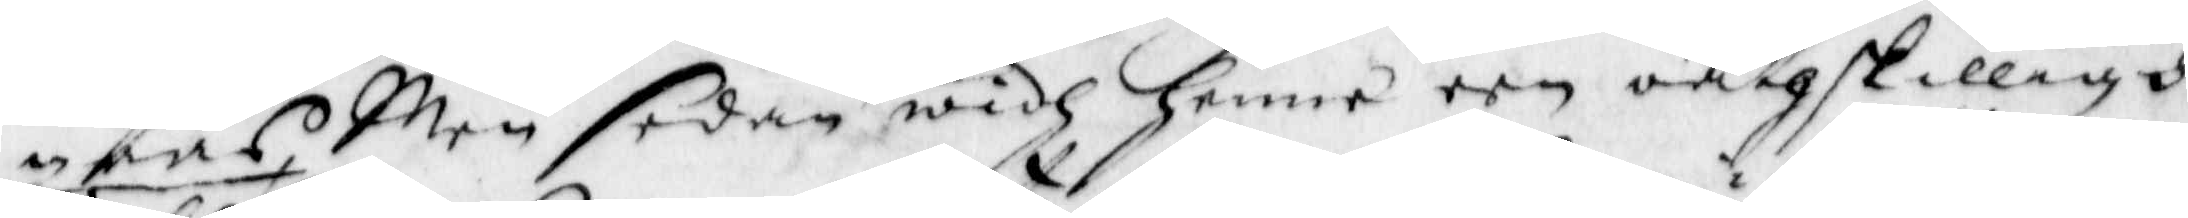gåås, Men sedan widh henne een oåtskilligh
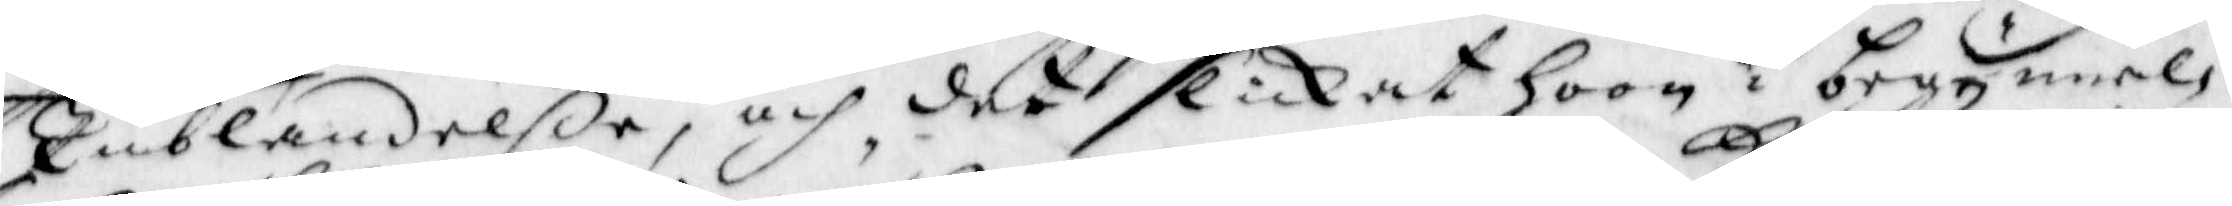Inblandelße, och det slickat hoon i begynnel¬
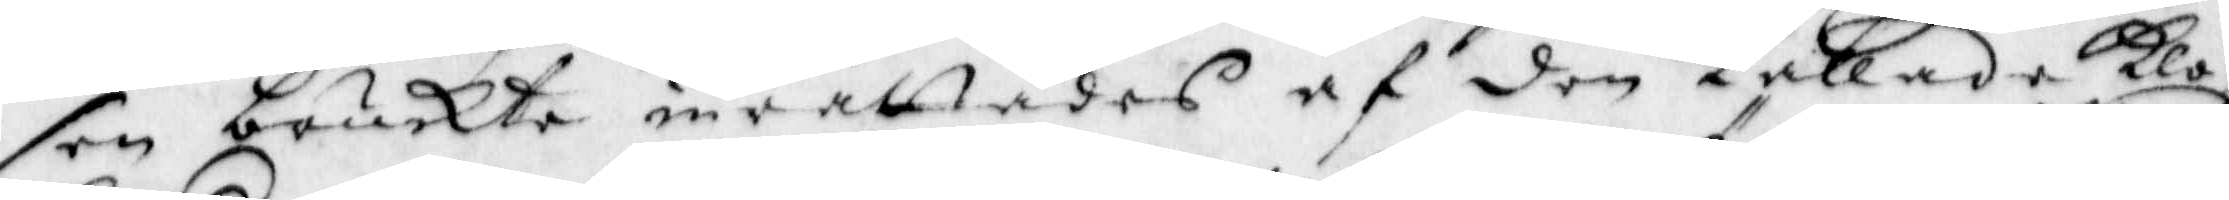sen bruckte invällades af den kallade klo¬
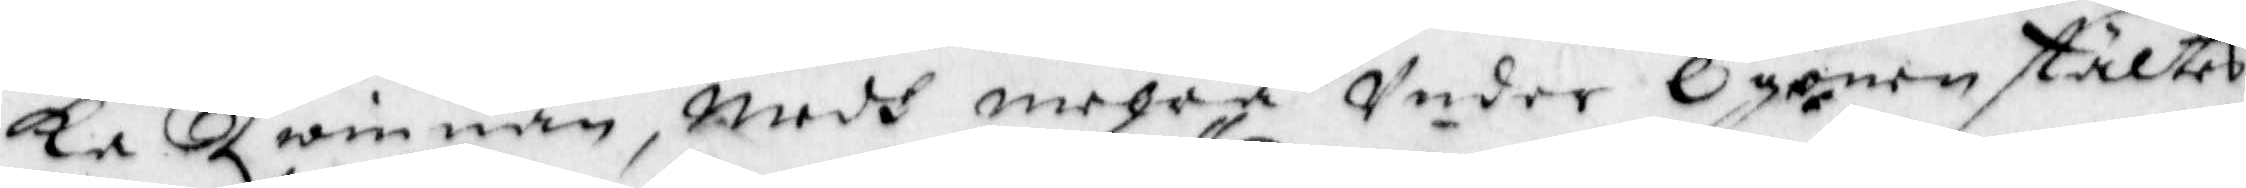ka Qeinnan, medh mehra Under Ögonen stältes
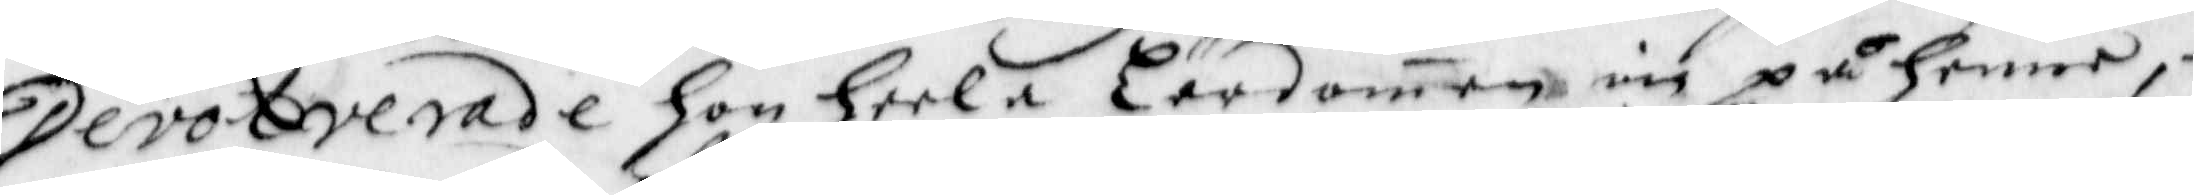Devotverade hon heela Lärdomen in på henne,
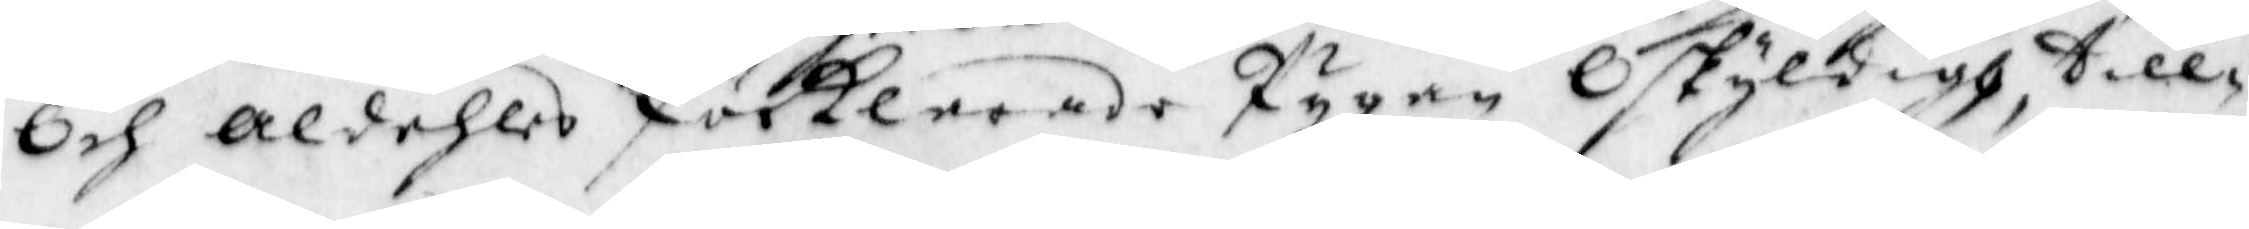Och aldehles förklarade Pygan Oskyldigh till¬
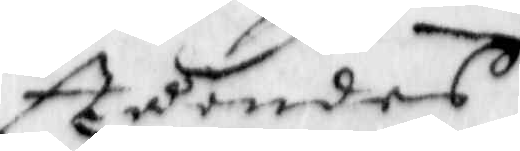ståendes
